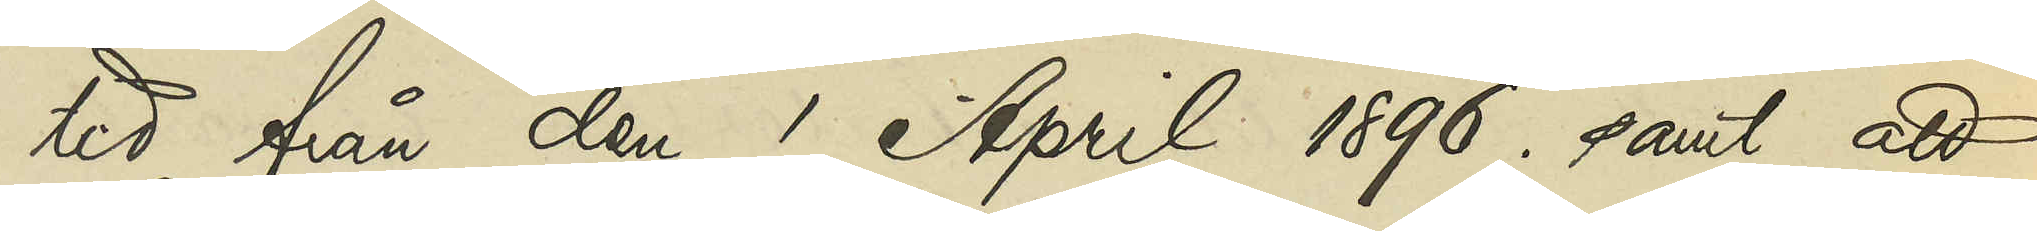tid från den 1 April 1896; samt att
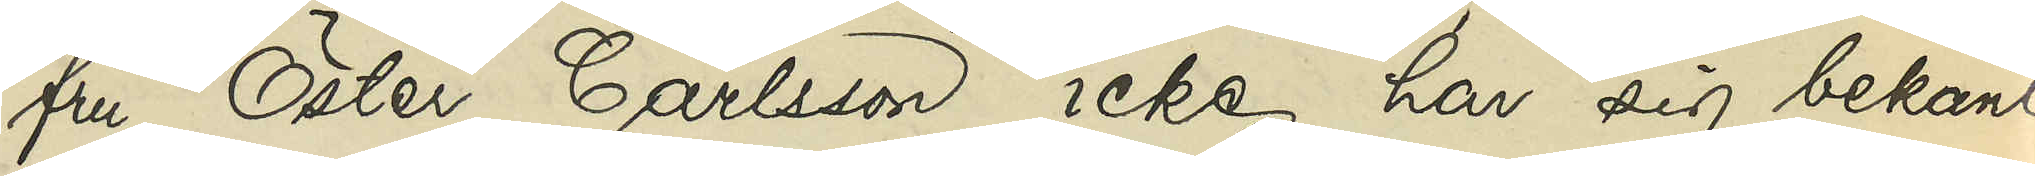fru Öster Carlsson icke, har sig bekant,
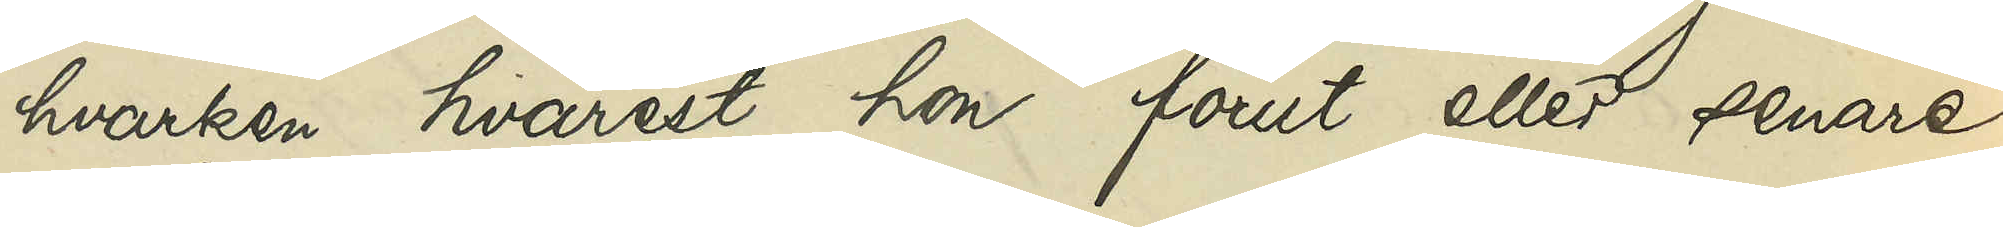hvarken hvarest hon förut eller senare
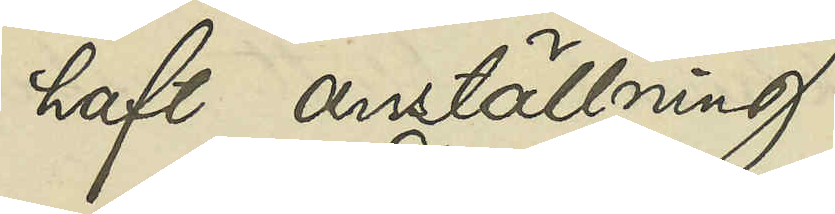haft anställning.
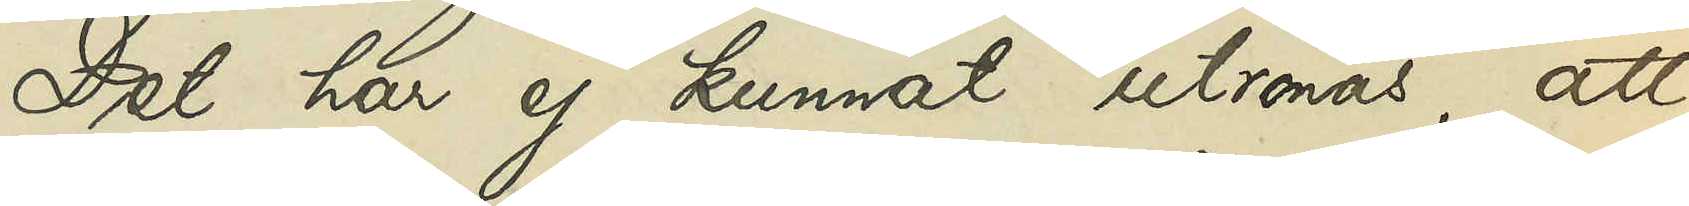Det har ej kunnat utrönas, att
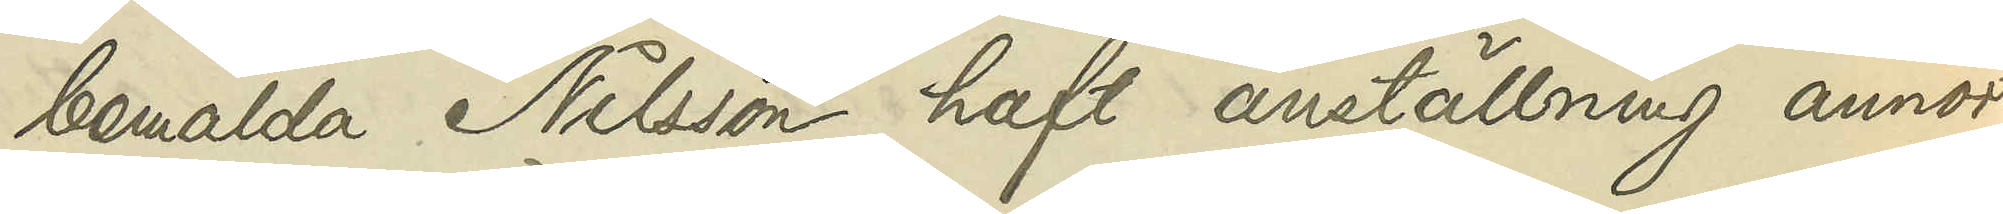bemälda Nilsson haft anställning annor¬
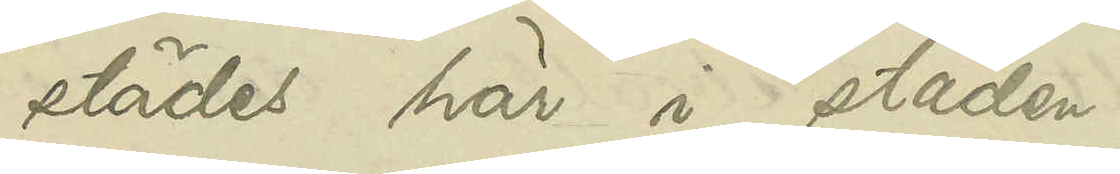städes här i staden.
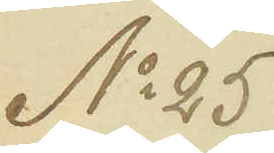No 25
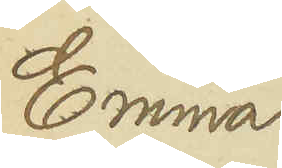Emma
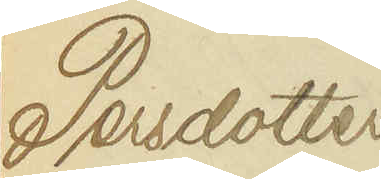Persdotter
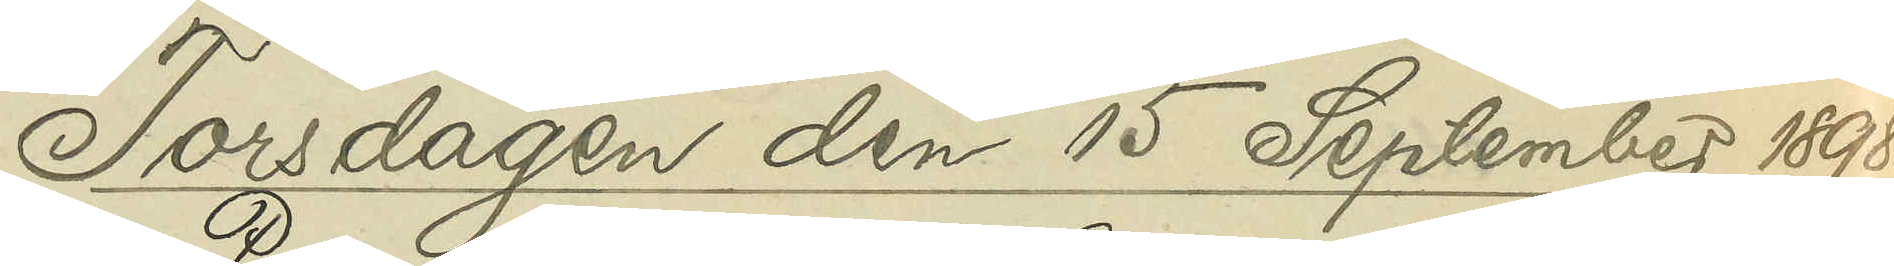Torsdagen den 15 September 1898.
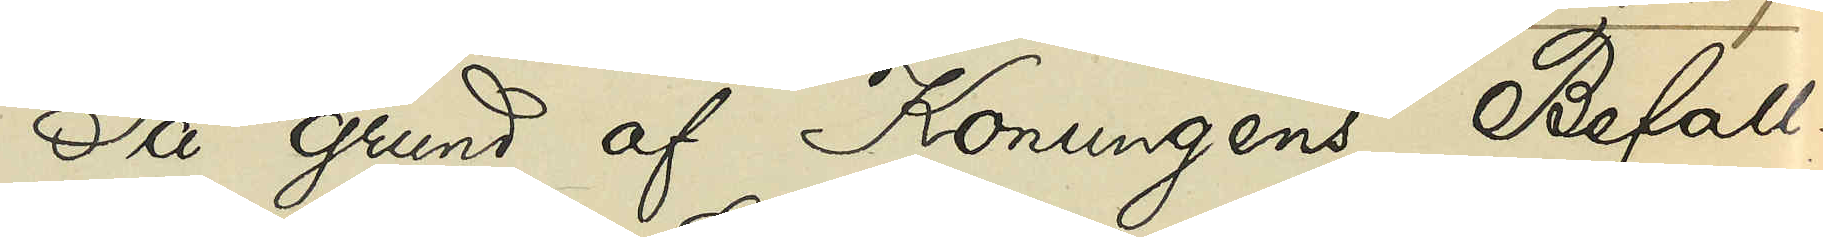På grund af Konungens Befall¬
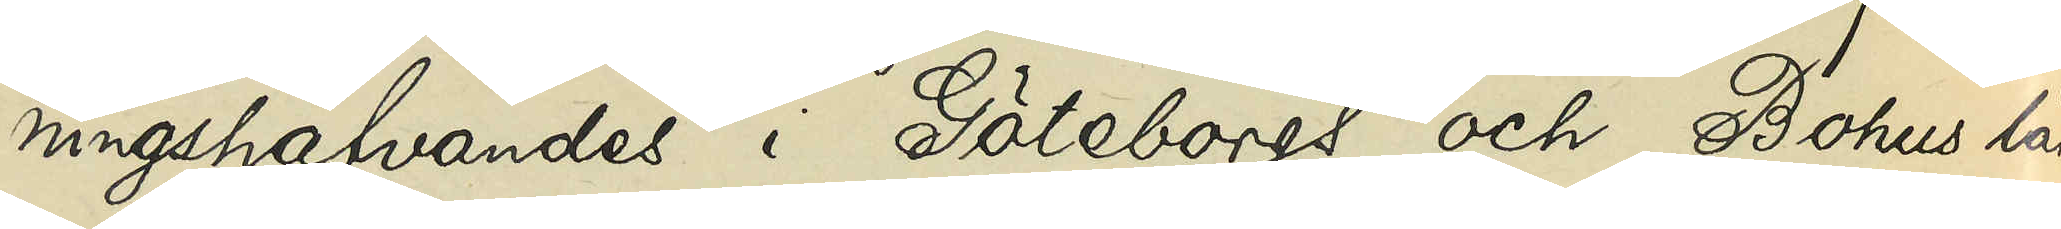ningshafvandes i Göteborgs och Bohus län
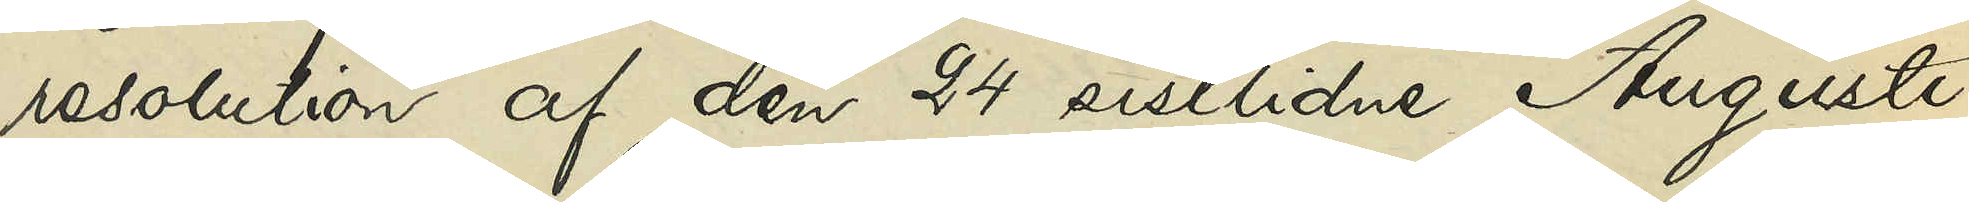resolution af den 24 sistlidne Augusti,
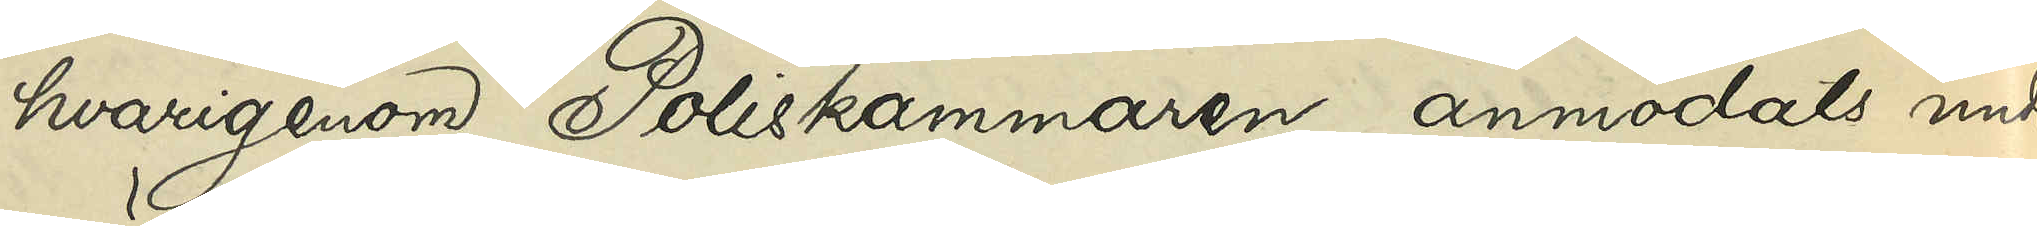hvarigenom Poliskammaren anmodats under¬
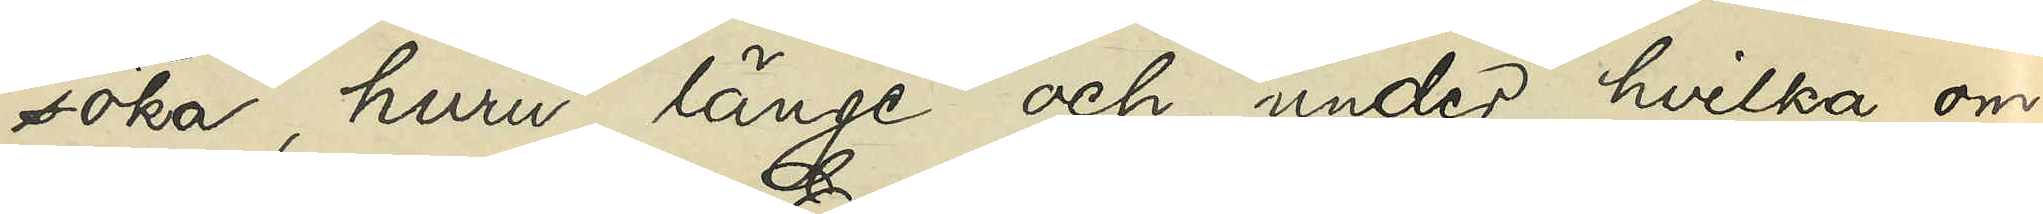söka, huru länge och under hvilka om¬
